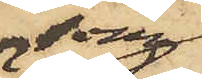som
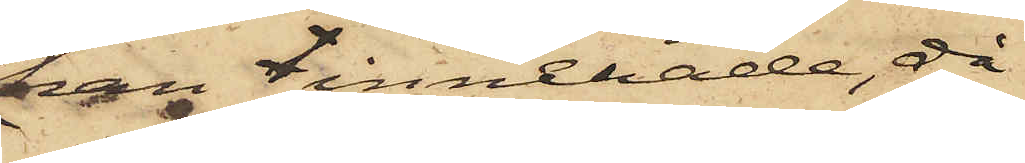han innehade, då
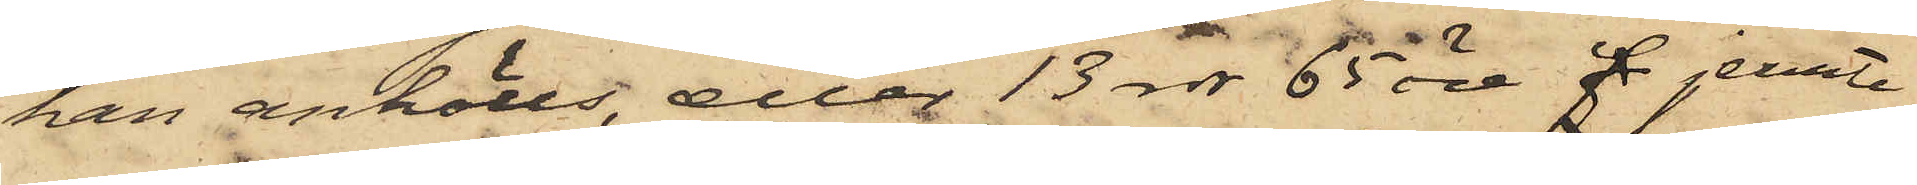han anhölls, eller 13 rdr 65 öre f jemte
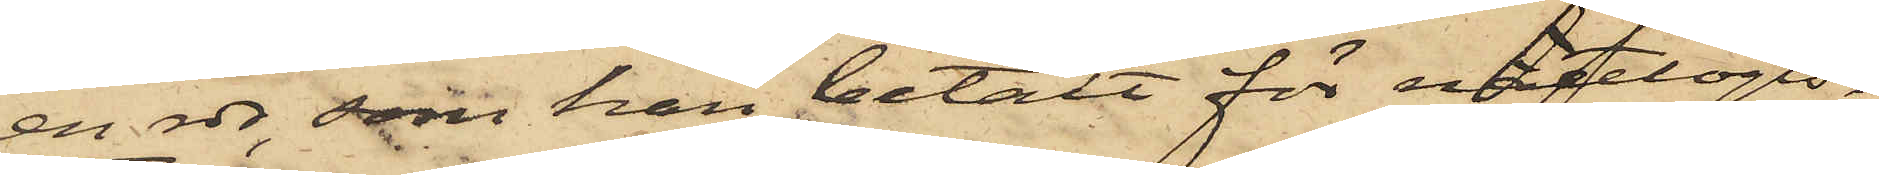en rdr, som han betalt för nattlogis.
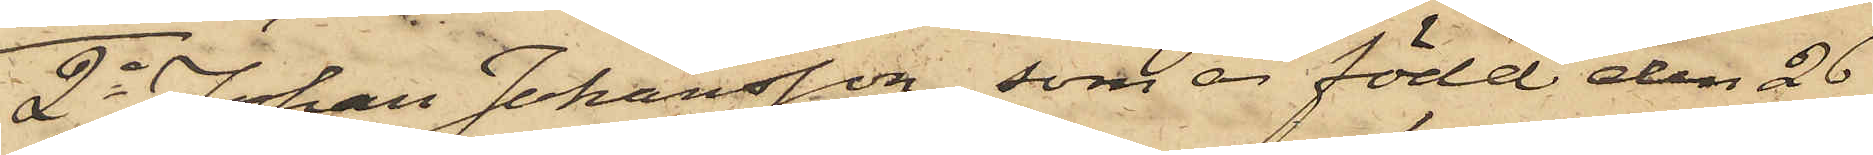2o Johan Johansson, som är född den 26
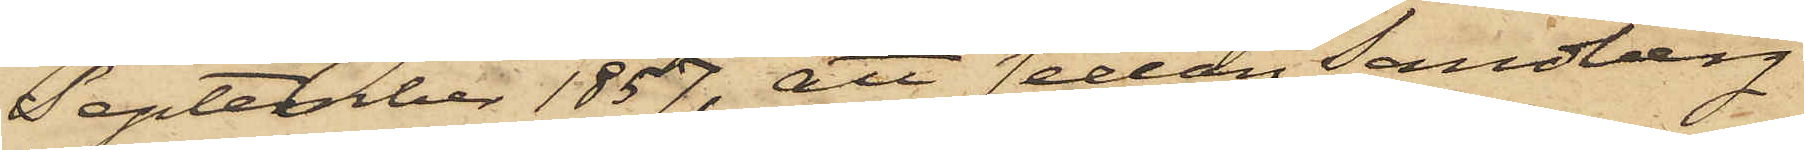September 1857, att sedan Sandberg
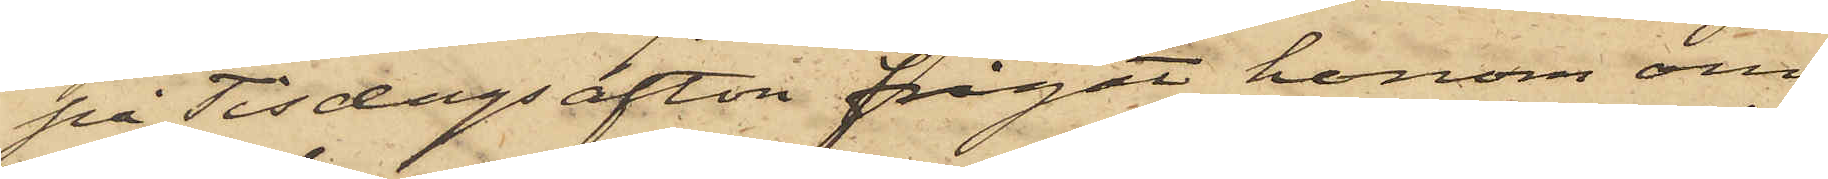på Tisdags afton frågat honom om
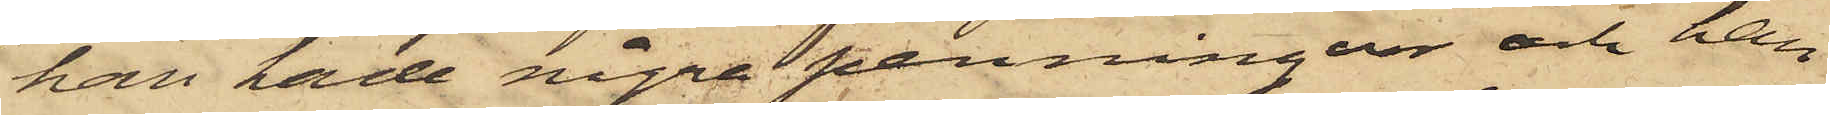han hade några penningar och han
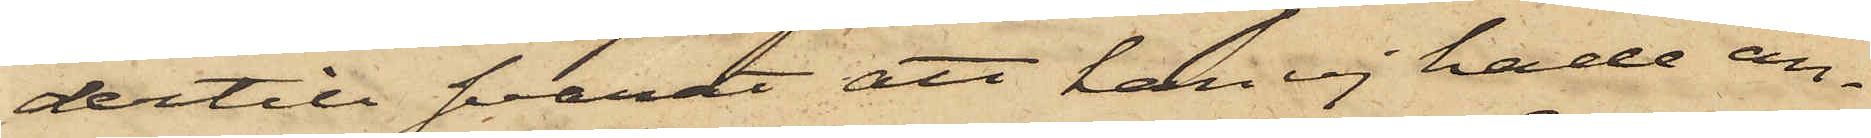dertill svarat att han ej hade an¬
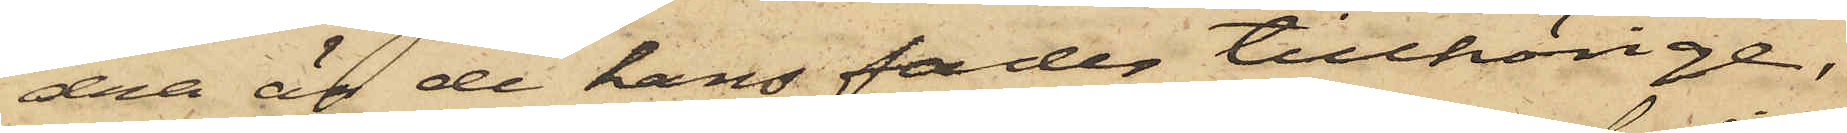dra än de hans fader tillhörige;
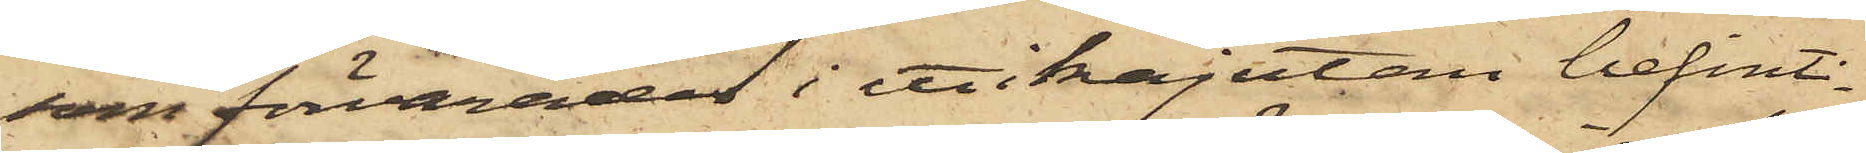som förvarades i ett i kajutan befint¬
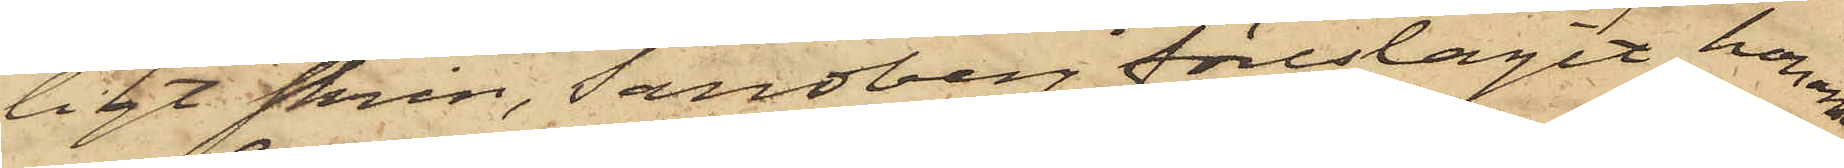ligt skrin, Sandberg föreslagit honom
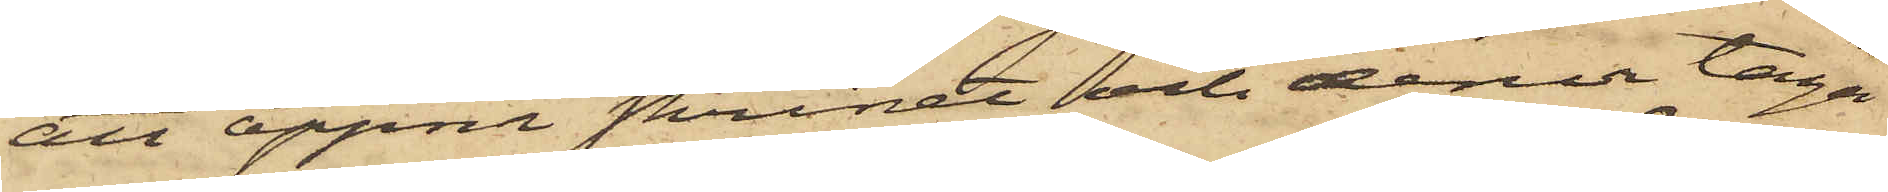att öppna skrinet och derur taga
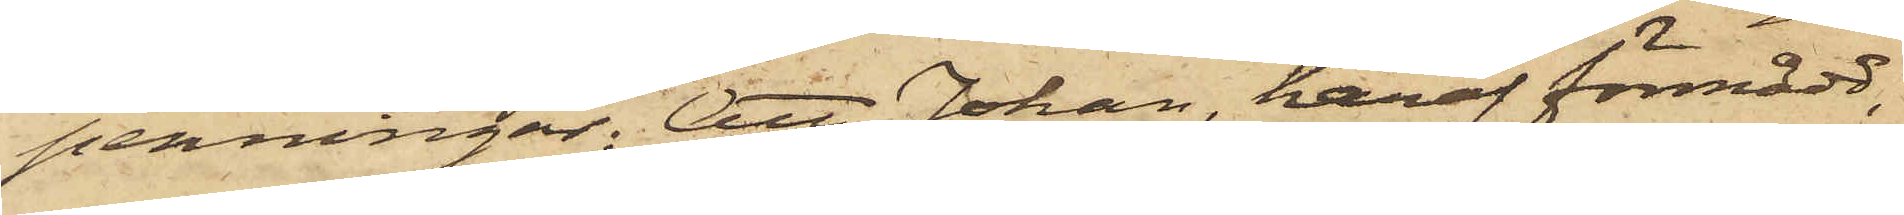penningar; Att Johan, häraf förmådd,
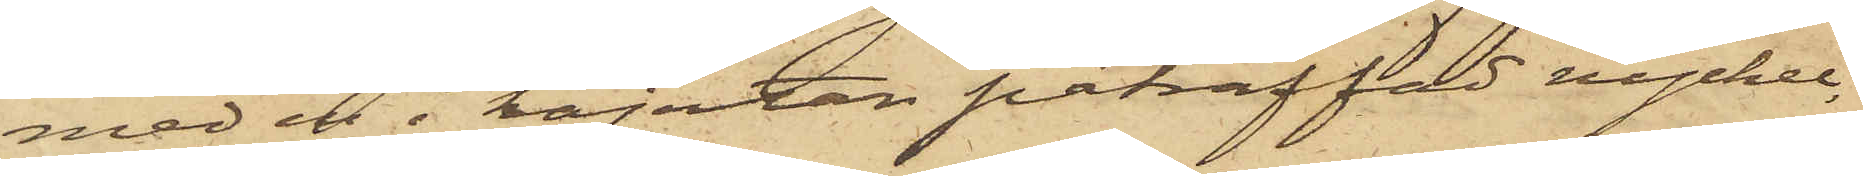med en i kajutan påträffad nyckel,
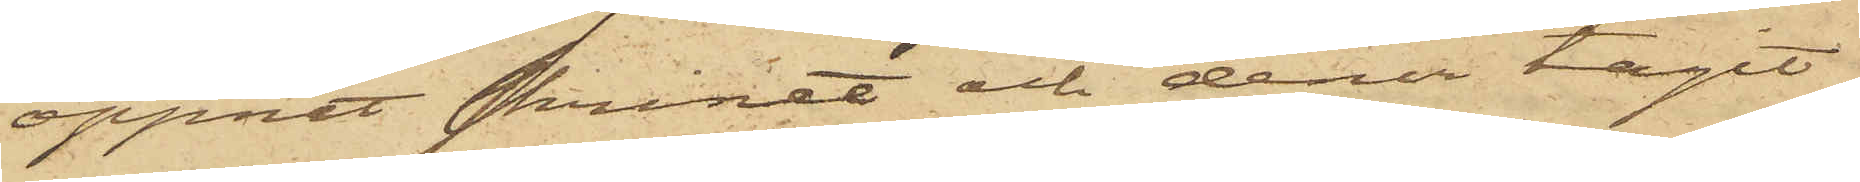öppnat skrinet och der tagit
